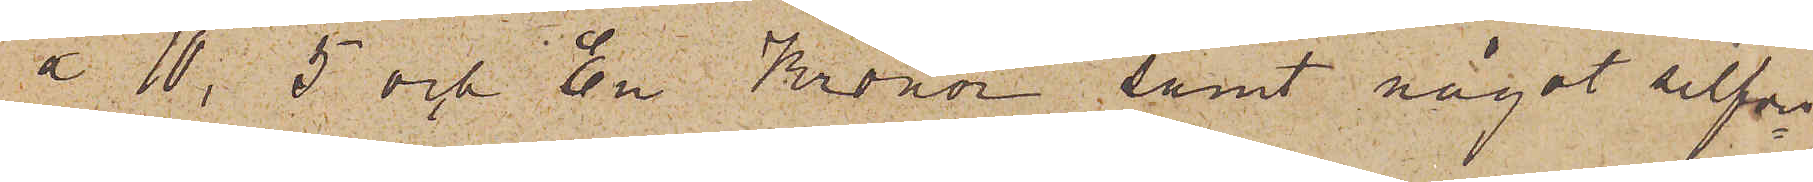å 10, 5 och En Kronor, samt något silfver¬
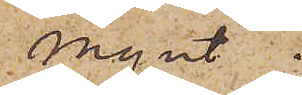mynt.
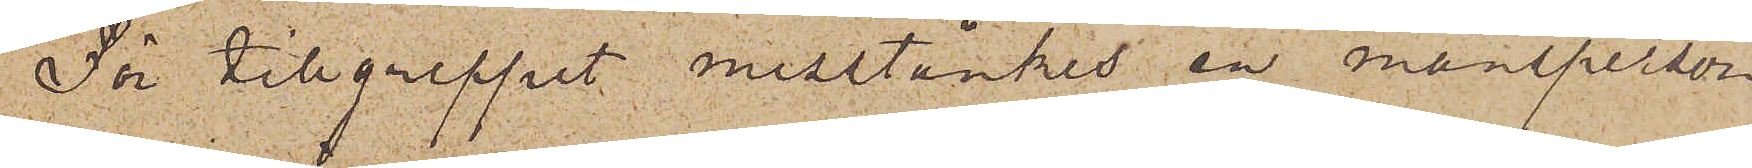För tillgreppet misstänkes en mansperson
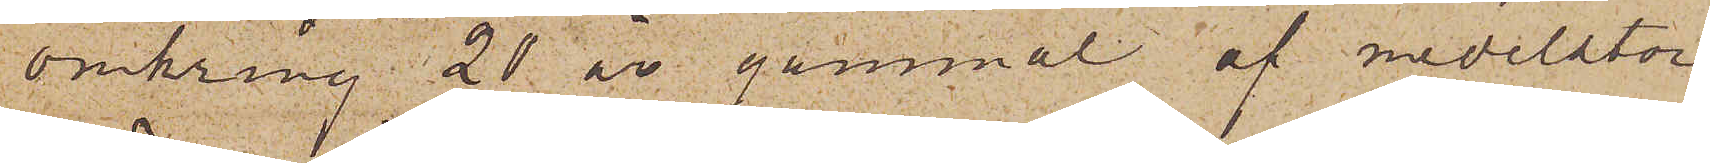omkring 20 år gammal af medelstor
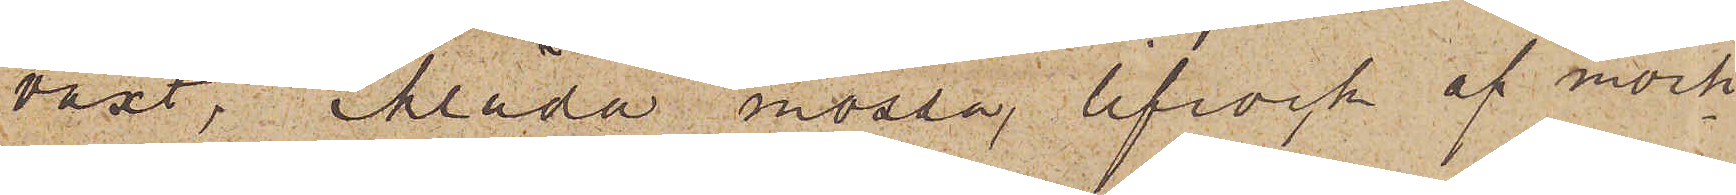växt, iklädd mössa, lifrock af mörk
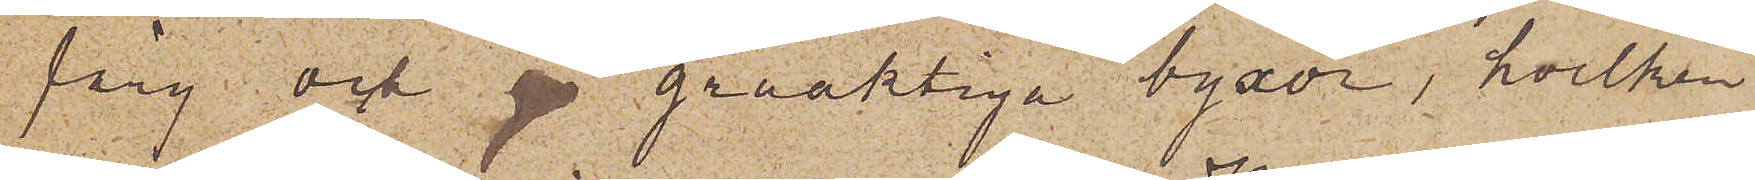färg; och ga gråaktiga byxor, hvilken
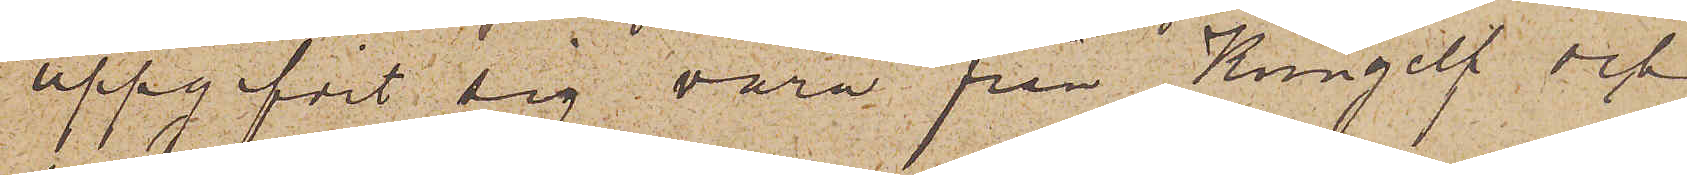uppgifvit sig vara från Kungelf och
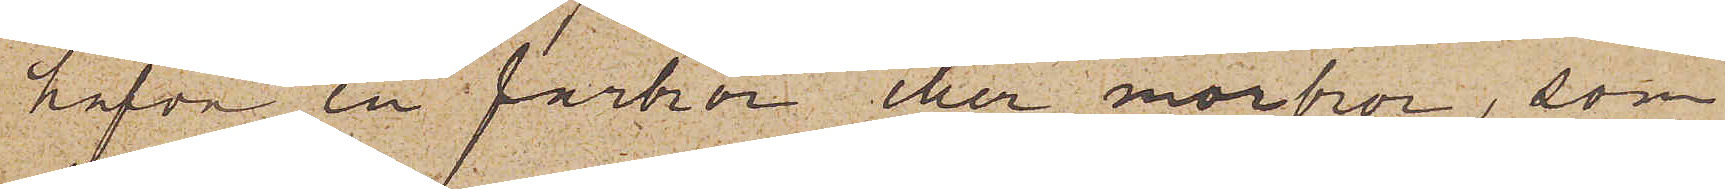hafva en farbror eller morbror, som
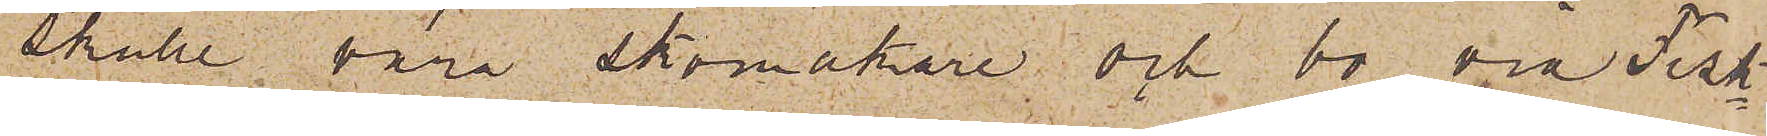skulle vara skomakare och bo vid Fisk¬
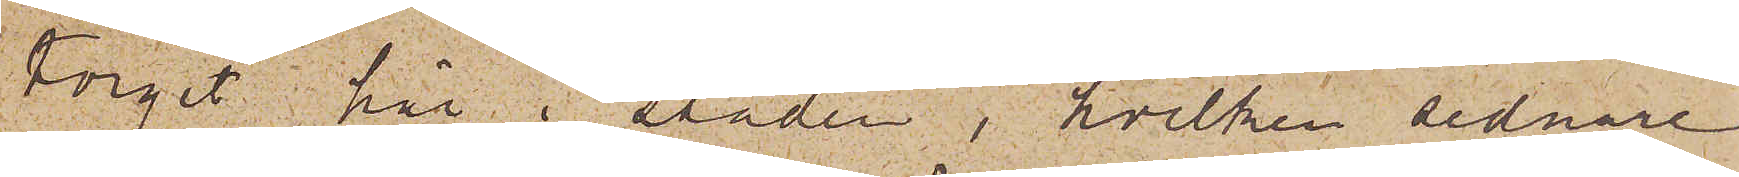torget här i staden, hvilken sednare
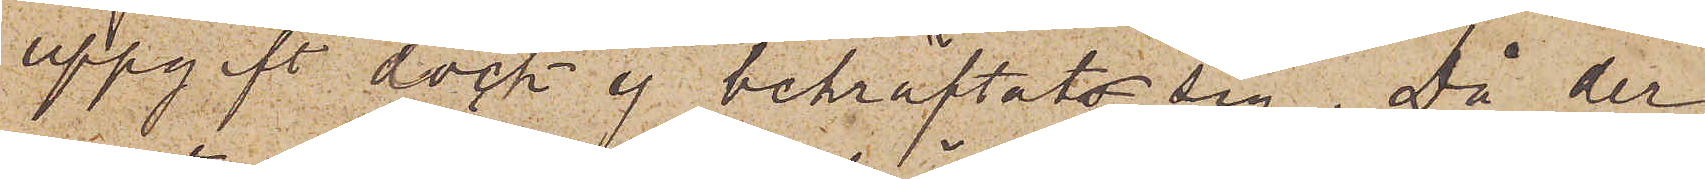uppgift dock ej bekräftats sig. Då der¬
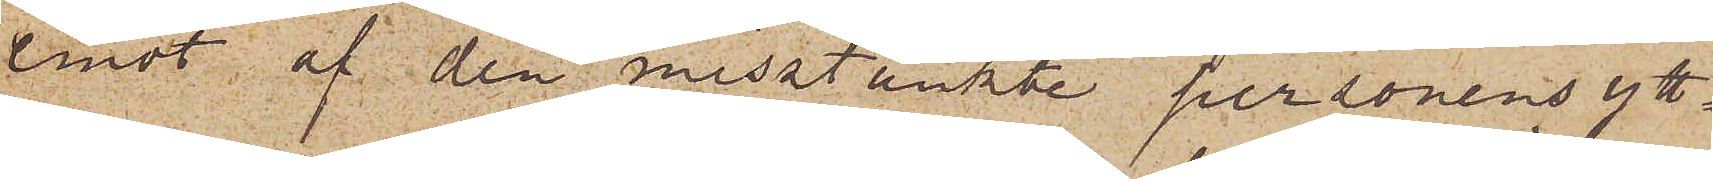emot af den misstänkte personens ytt¬
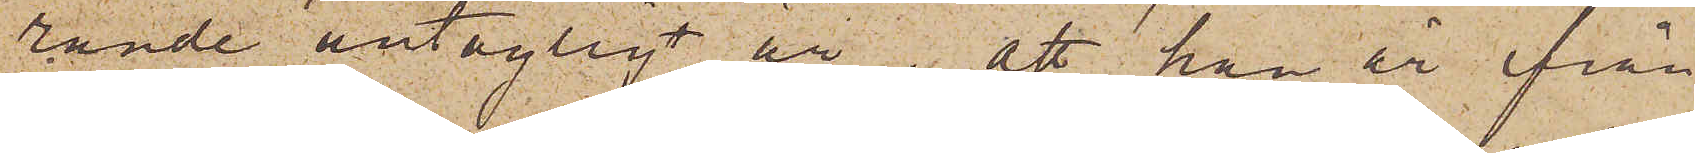rande antagligt är, att han är från
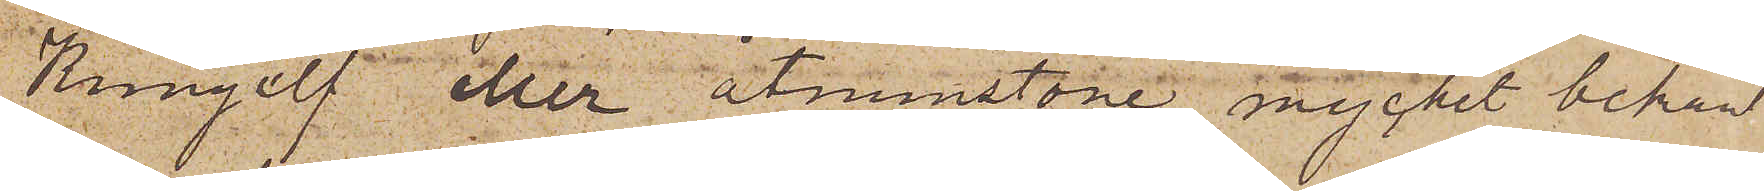Kungelf eller åtminstone mycket bekant
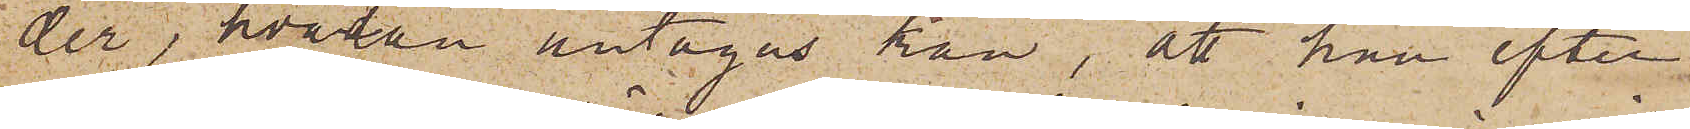der, hvadan antagas kan, att han efter
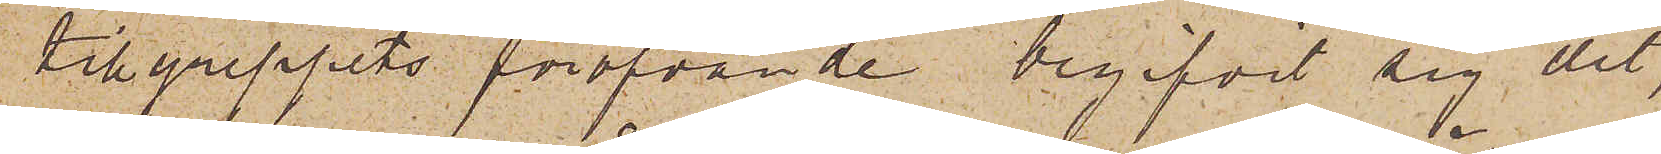tillgreppets föröfvande begifvit sig dit,
